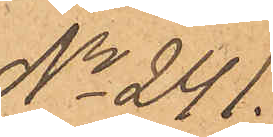No 241.
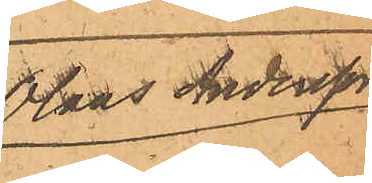Olaus Andersson
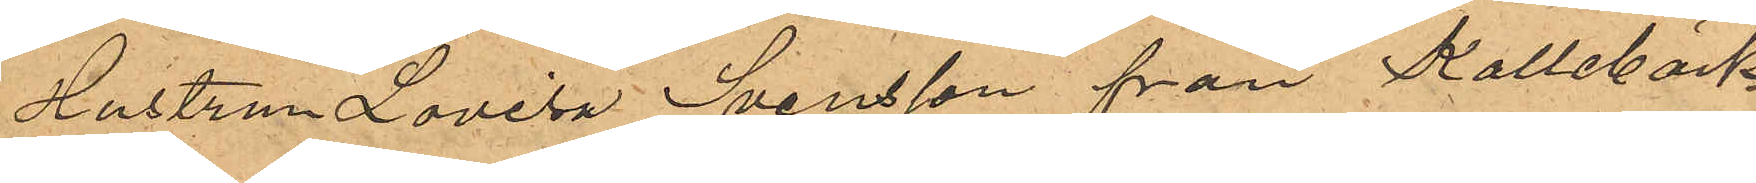Hustru Lovisa Svensson från Kallebäck
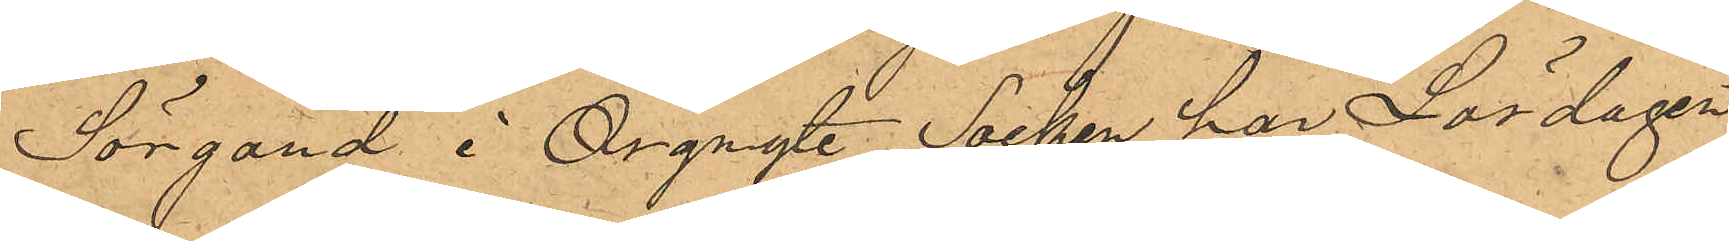Sörgård i Örgryte Socken har Lördagen
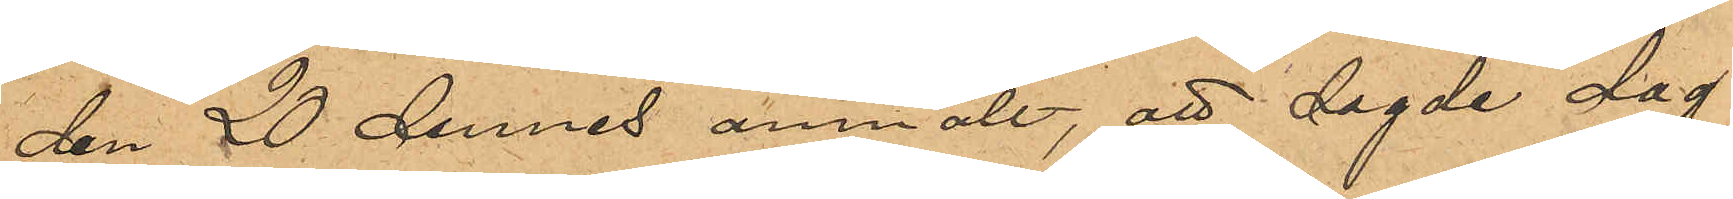den 20 dennes anmält, att sagde dag
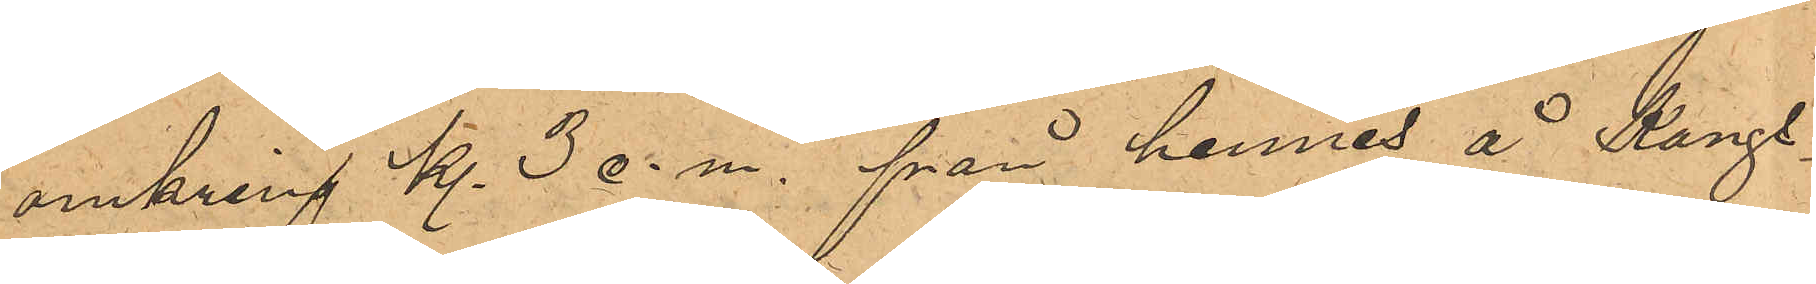omkring kl. 3 e.m. från hennes å Kongs¬
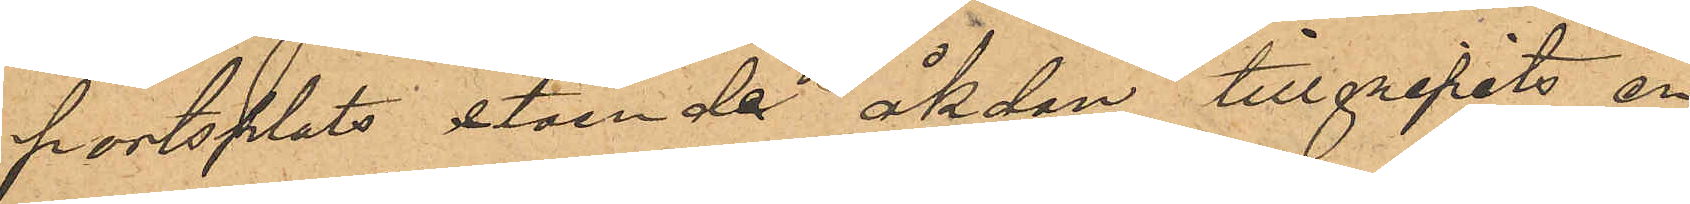portsplats stående åkdon tillgripits en
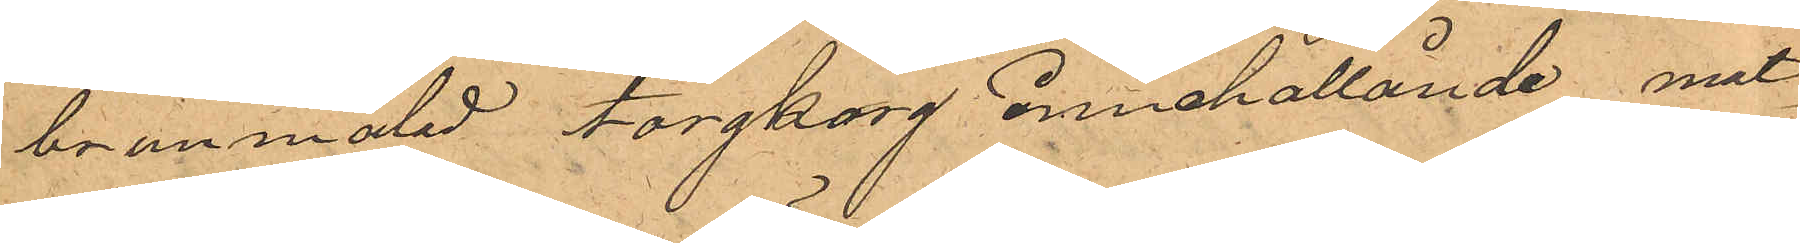brunmålad torgkorg innehållande mat¬
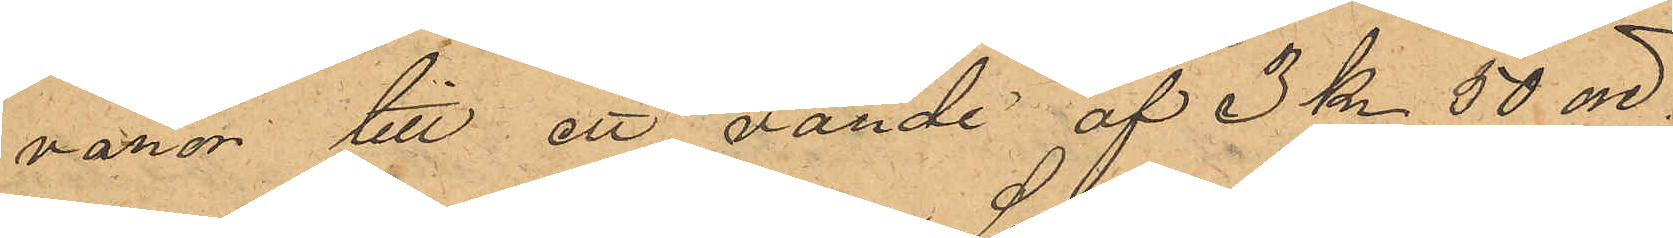varor till ett värde af 3 kr 50 öre.
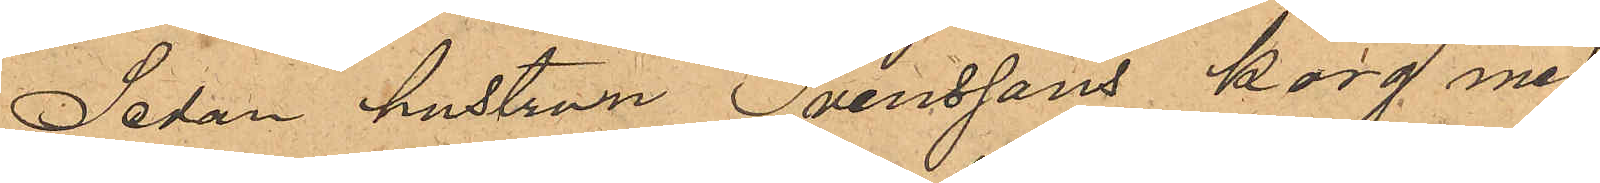Sedan hustrun Svenssons korg med
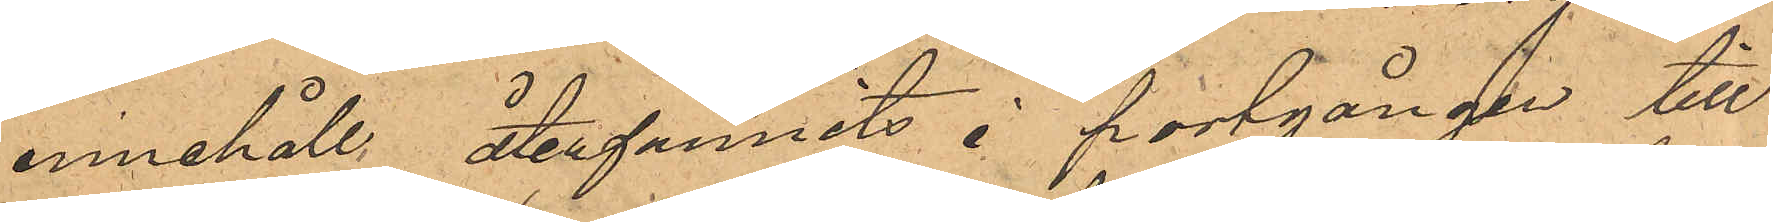innehåll återfunnits i portgången till
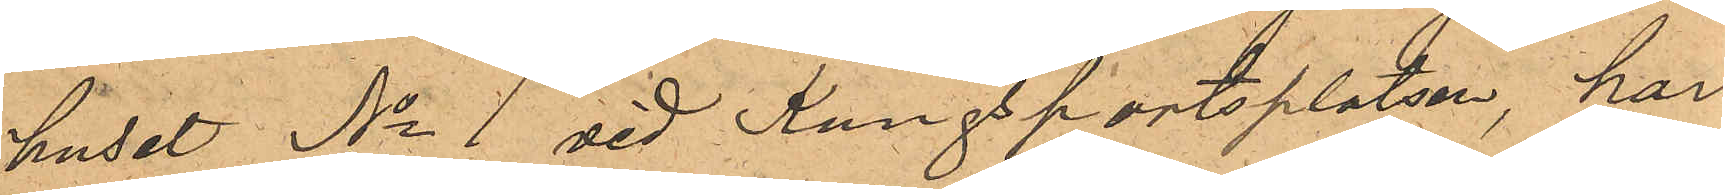huset No 1 vid Kungsportsplatsen, har
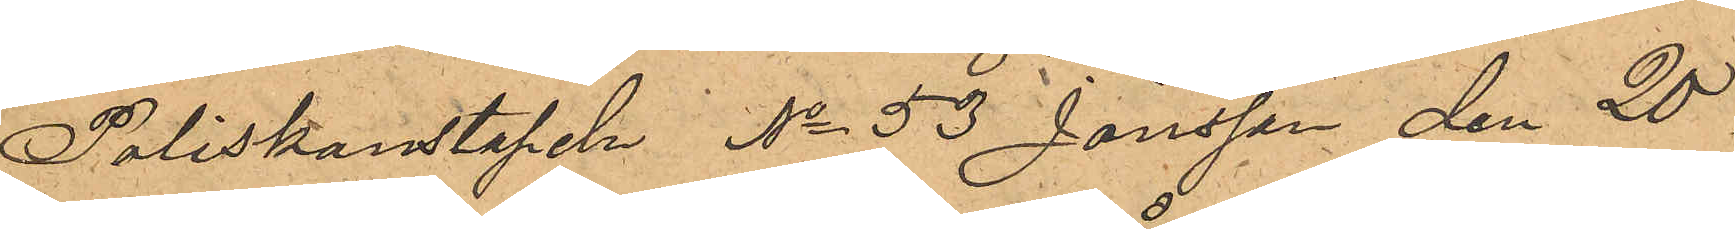Poliskonstapeln No 53 Jönsson den 20
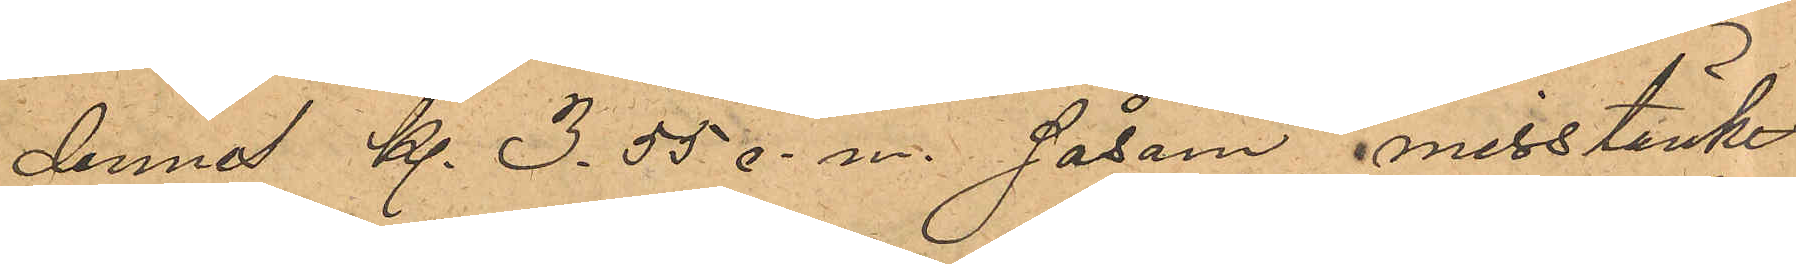dennes kl. 3.55 e. m. såsom misstänkt
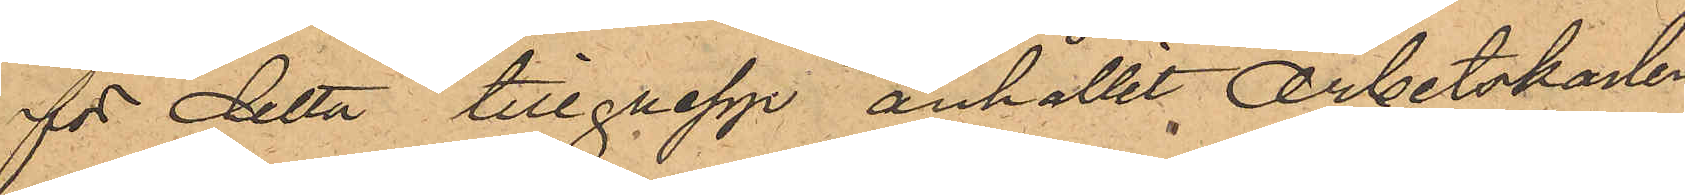för detta tillgrepp anhållit Arbetskarlen
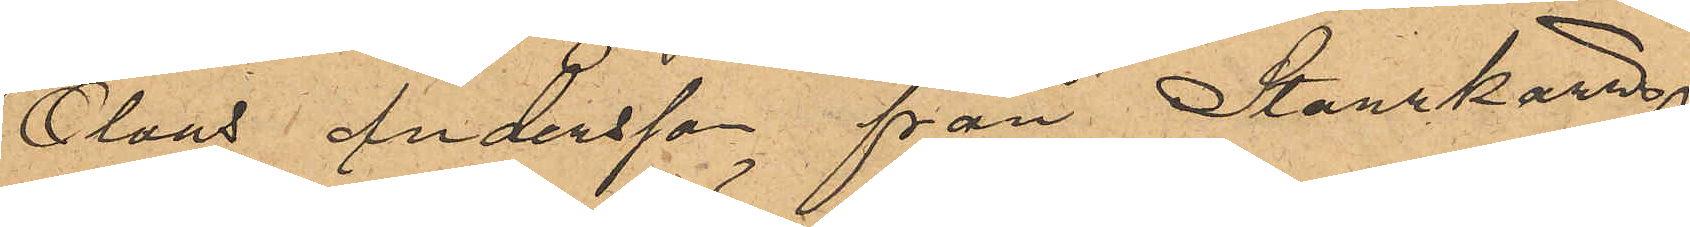Olaus Andersson från Starrkärr
